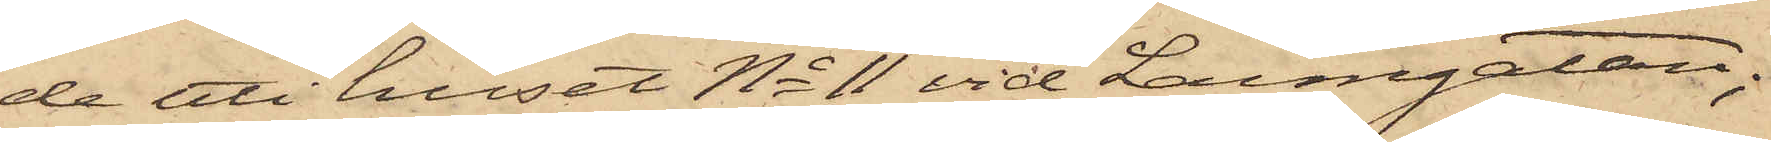de uti huset No 11 vid Larmgatan;
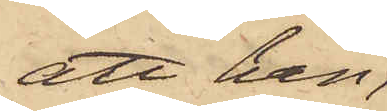att han,
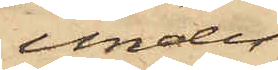under
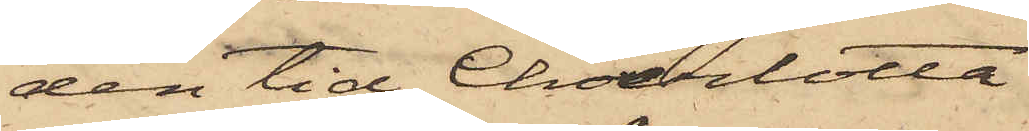den tid Charlotta
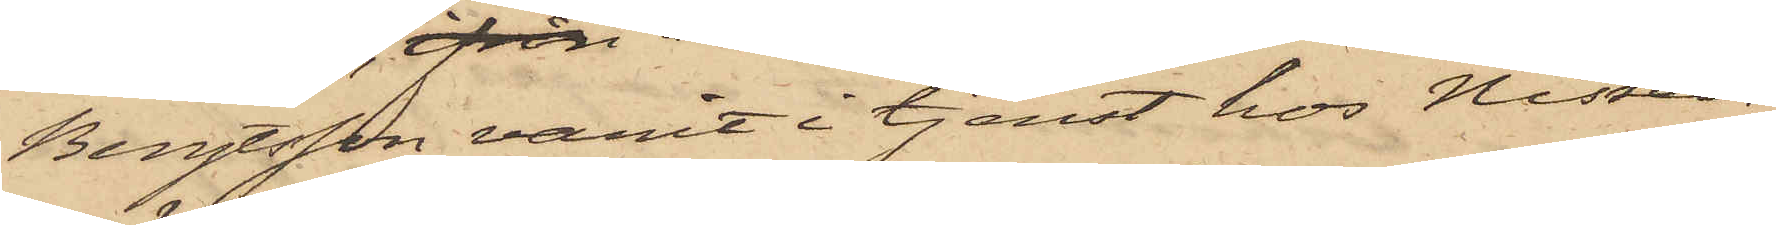Bengtsson, varit i tjenst hos Nissen,
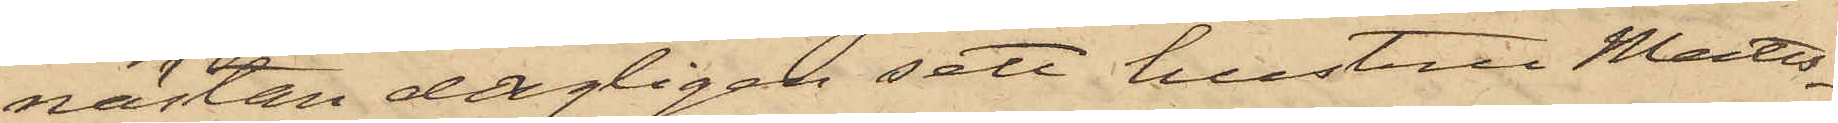nästan dagligen sett hustru Matts¬
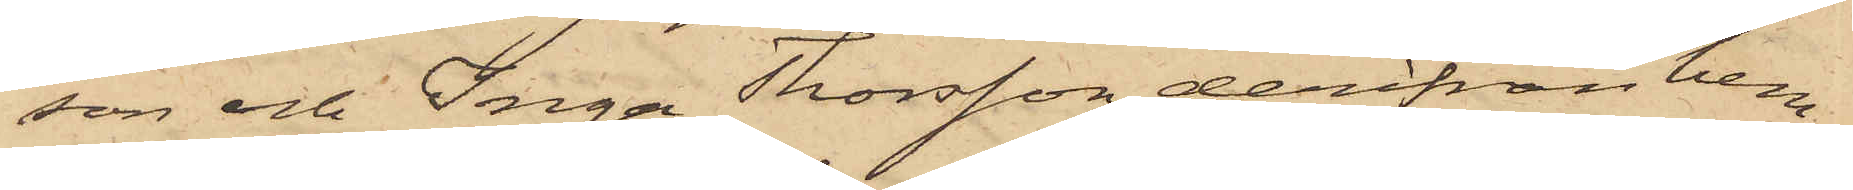son och Inga Thorsson derifrån hem¬
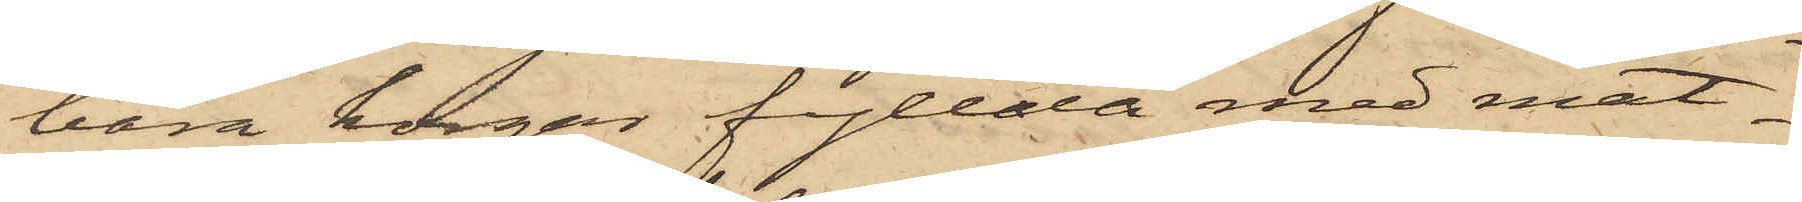bära korgar fyllda med mat¬
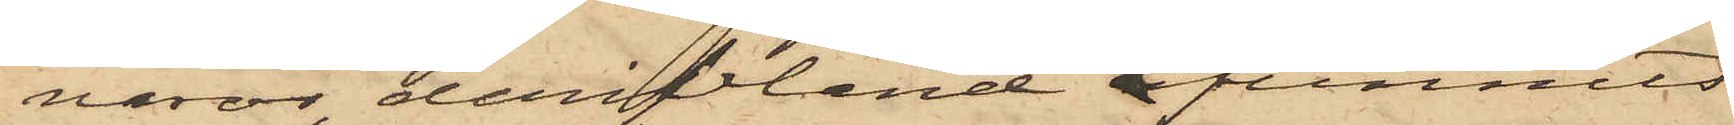varor, deribland funnits
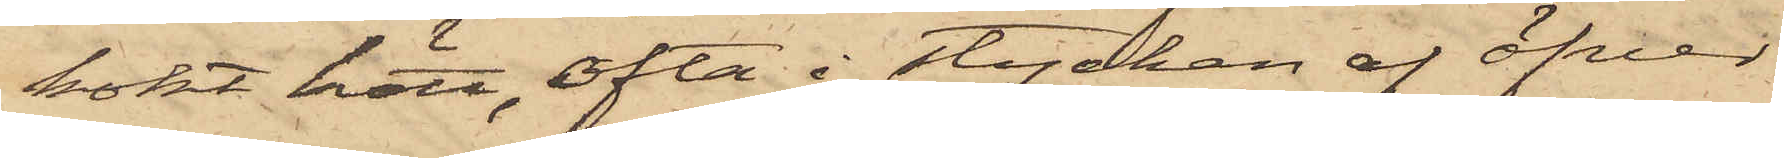kokt kött, ofta i stycken af öfver
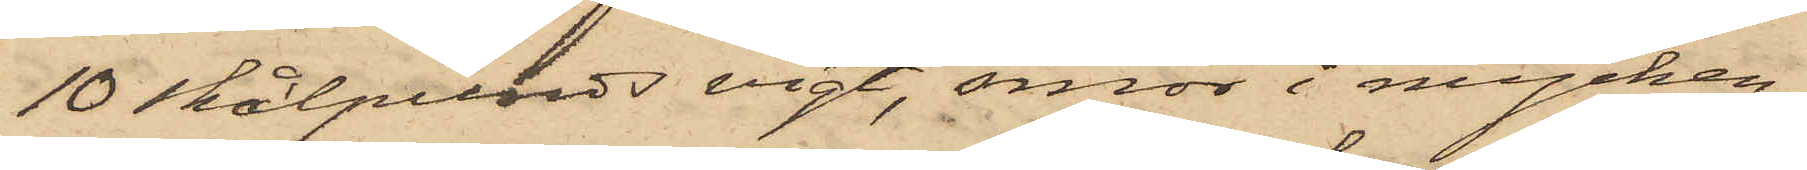10 skålpunds vigt, smör i mycken¬
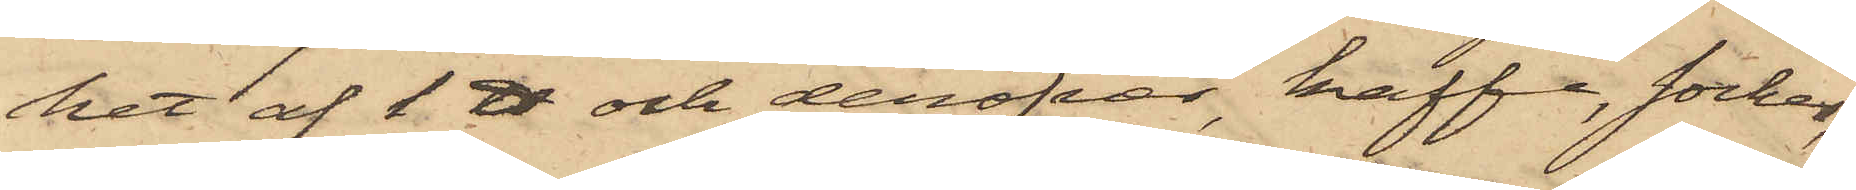het af 1 ℔ och deröfver, kaffe, socker,
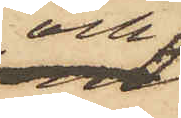och
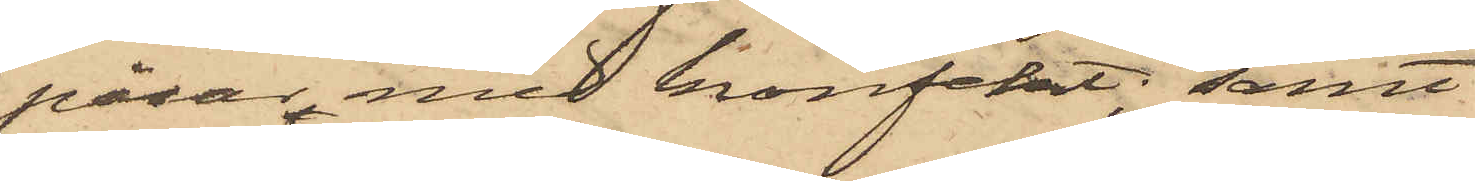påsar med konfekt; samt
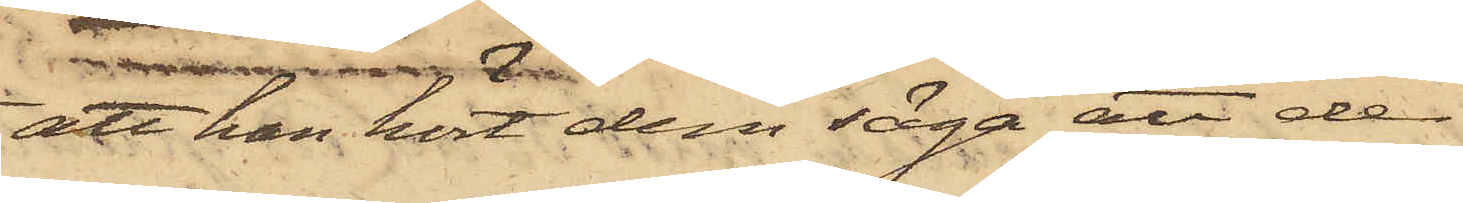att han hört dem säga att de
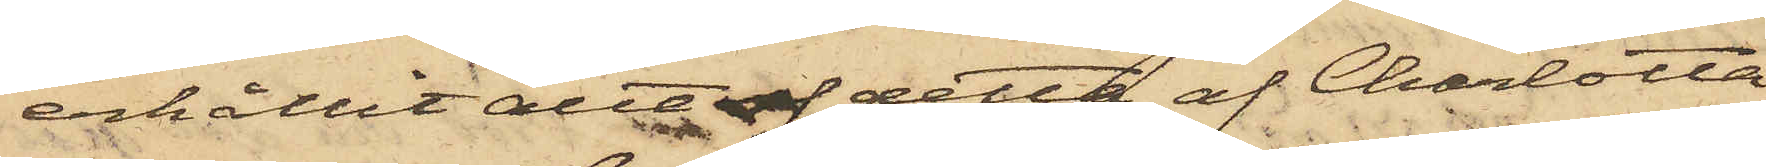erhållit allt af detta af Charlotta
